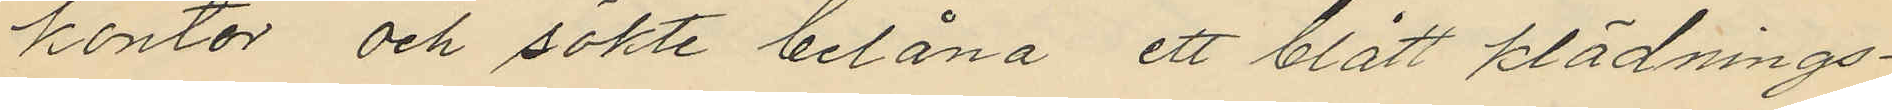kontor och sökte belåna ett blått klädnings¬
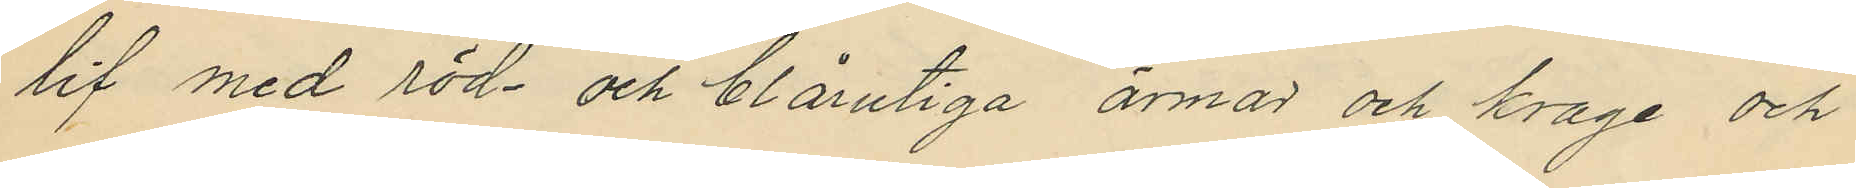lif med röd och blårutiga ärmar och krage och
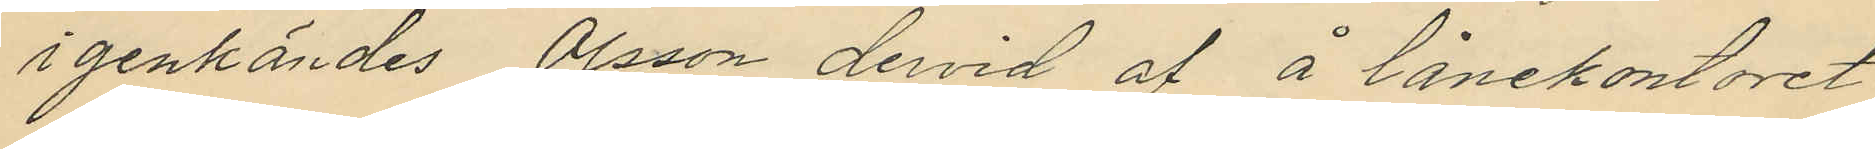igenkändes Olsson dervid af å lånekontoret
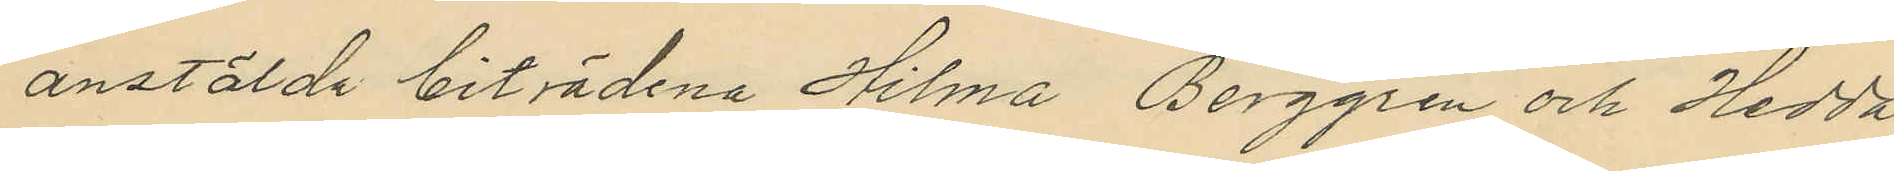anstälda biträdena Hilma Berggren och Hedda
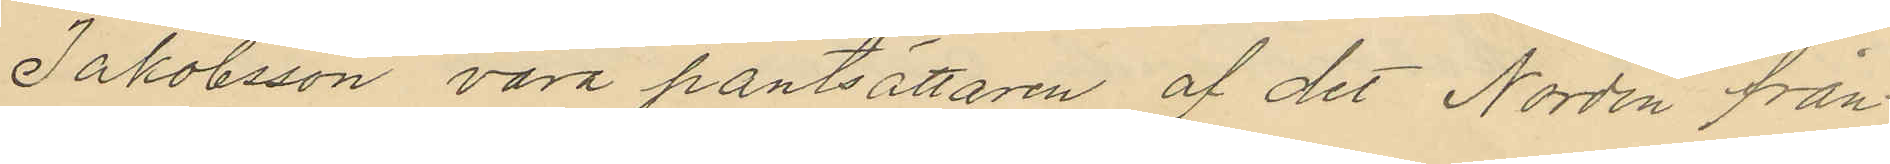Jakobsson vara pantsättaren af det Nordin från
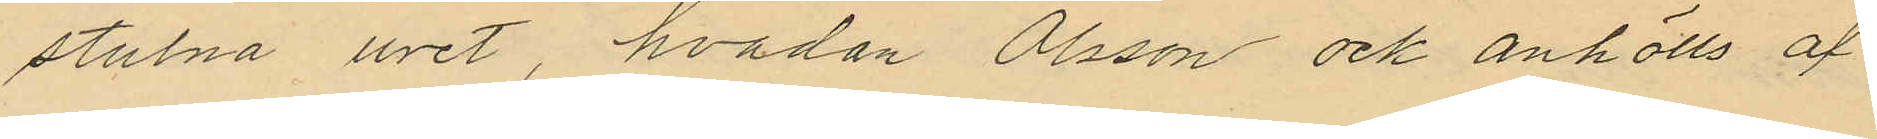stulna uret, hvadan Olsson och anhölls af
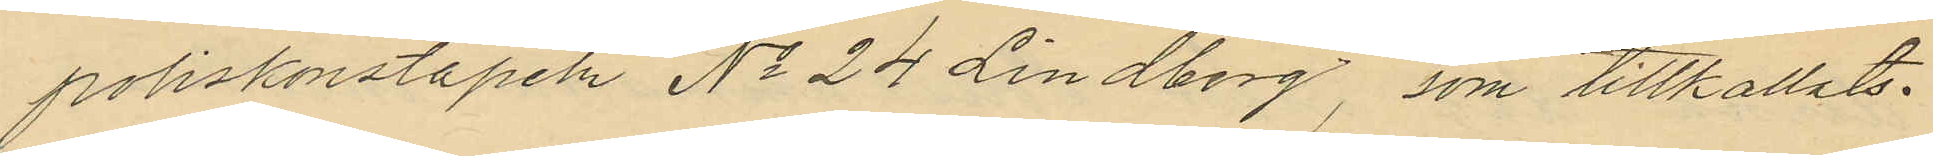poliskonstapeln No 24 Lindberg, som tillkallats.
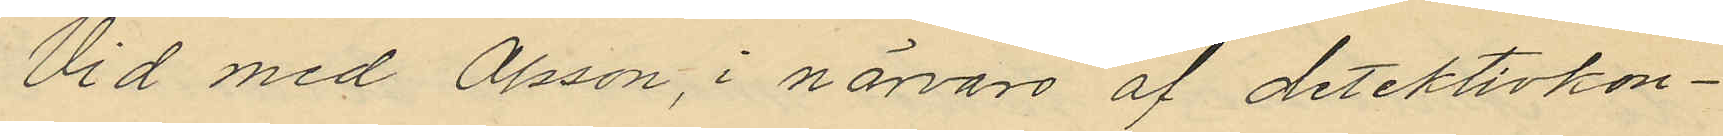Vid med Olsson, i närvaro af detektivkon¬
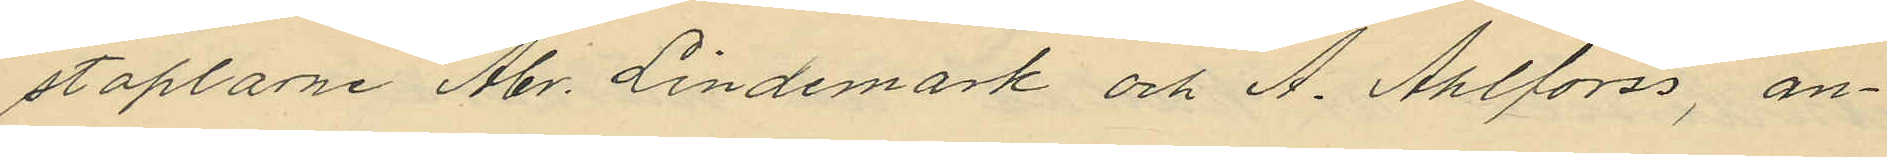staplarne Abr. Lindemark och A. Ahlforss, an¬
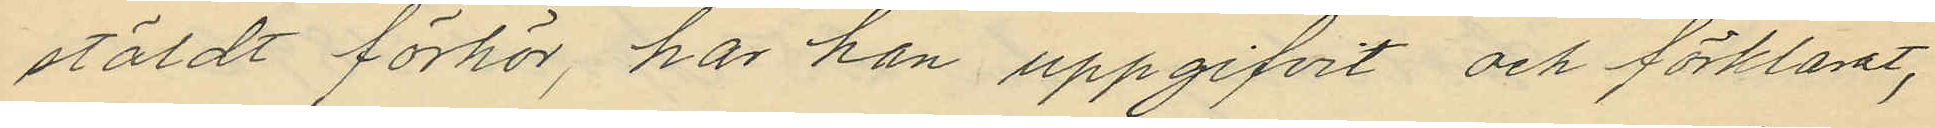stäldt förhör, har han uppgifvit och förklarat,
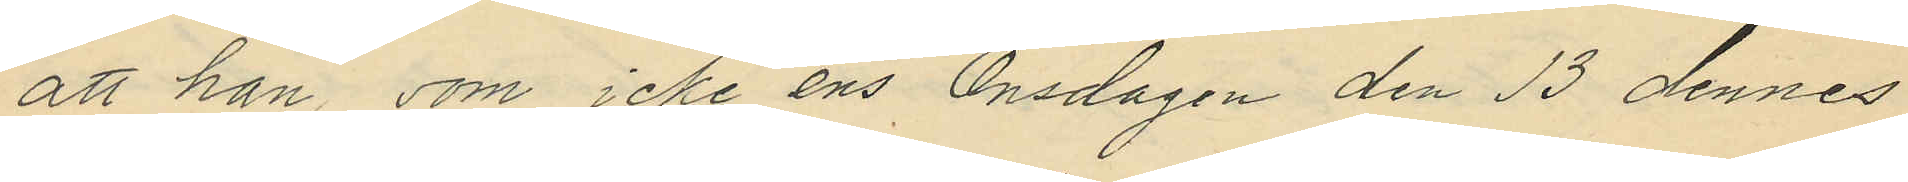att han, som icke ens Onsdagen den 13 dennes
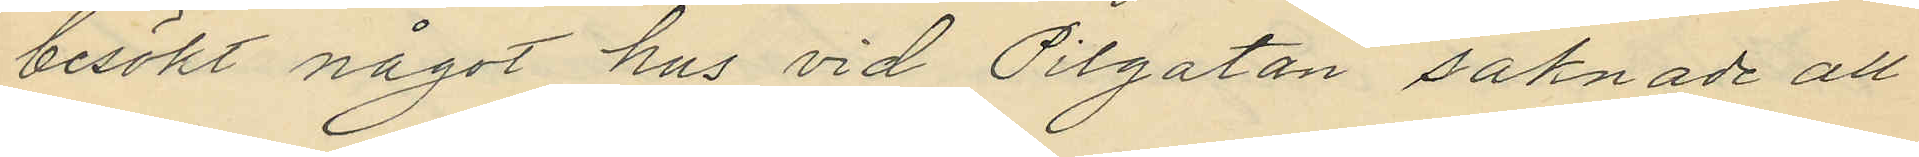besökt något hus vid Pilgatan saknade all
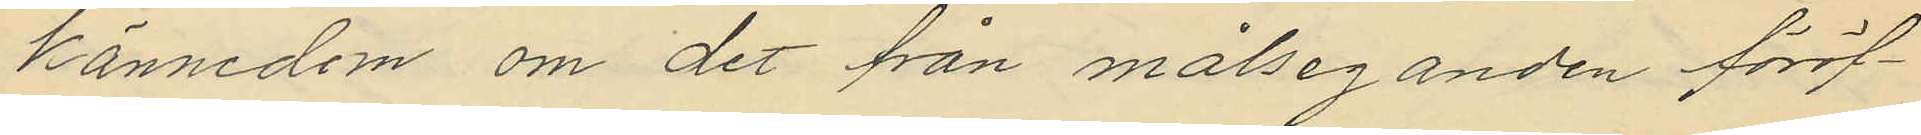kännedom om det från målseganden föröf¬
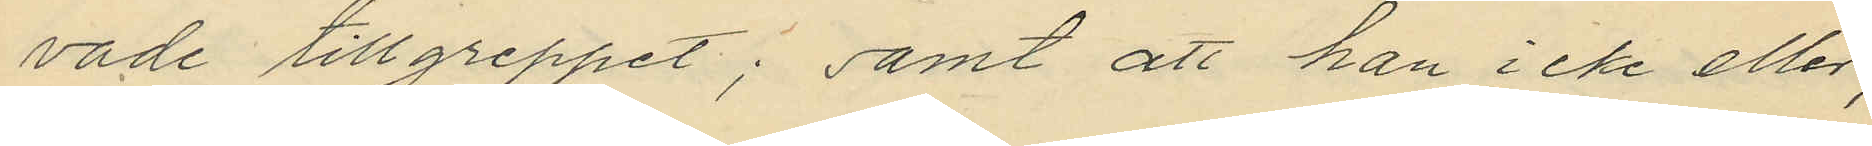vade tillgreppet; samt att han icke eller,
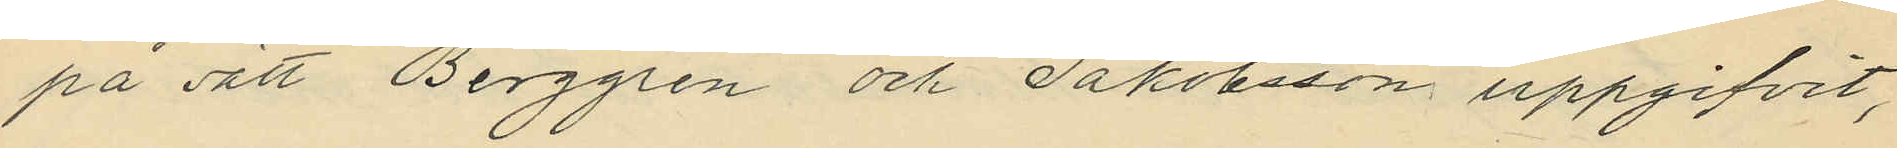på sätt Berggren och Jakobsson uppgifvit,
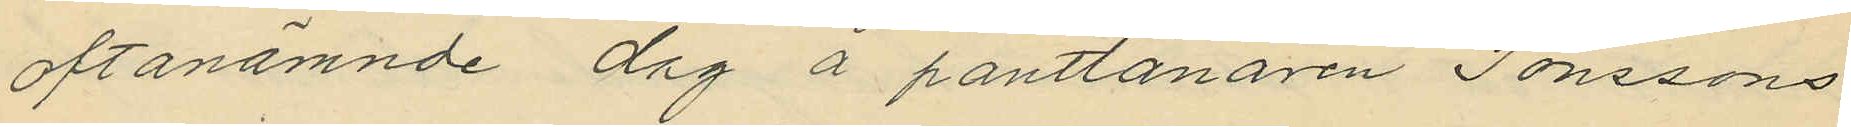oftanämnde dag å pantlånaren Jonssons
